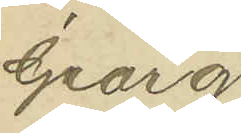Georg
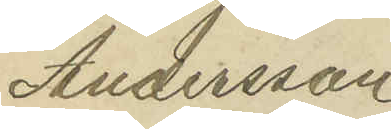Andersson
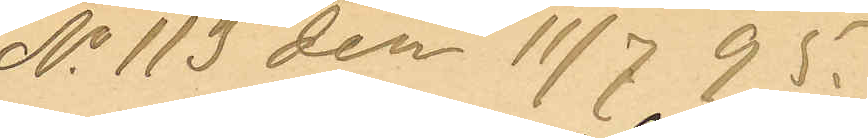No 113 den 11/7 95.
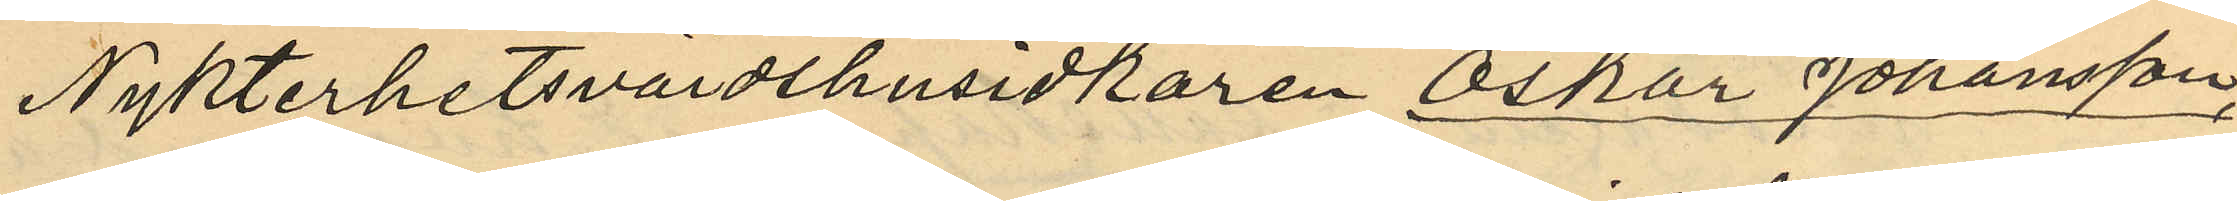Nykterhetsvärdshusidkaren Oskar Johansson,
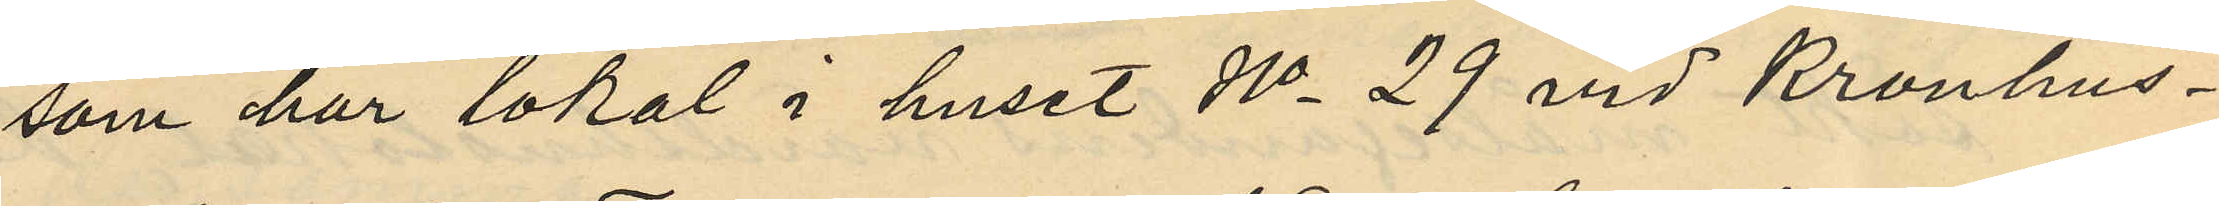som har lokal i huset No 29 vid Kronhus¬
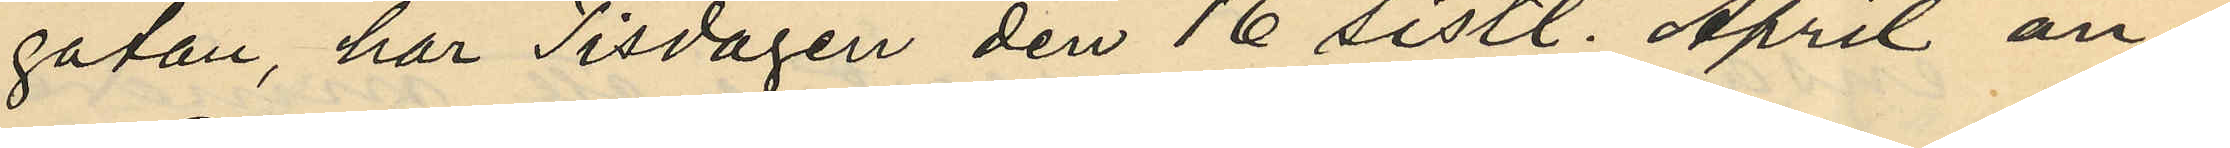gatan, har Tisdagen den 16 sistl. April an¬
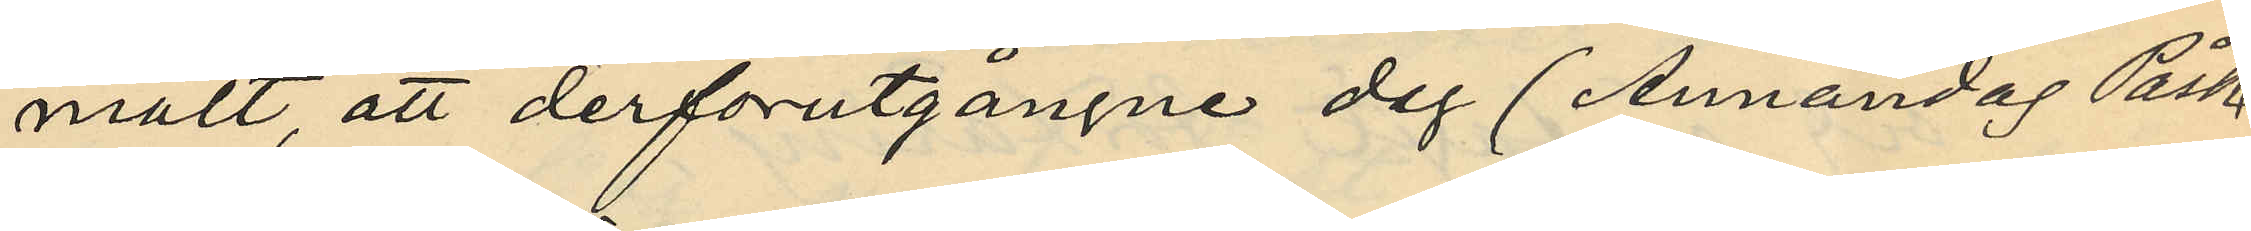mält, att derförutgångne dag (Annandag Påsk)
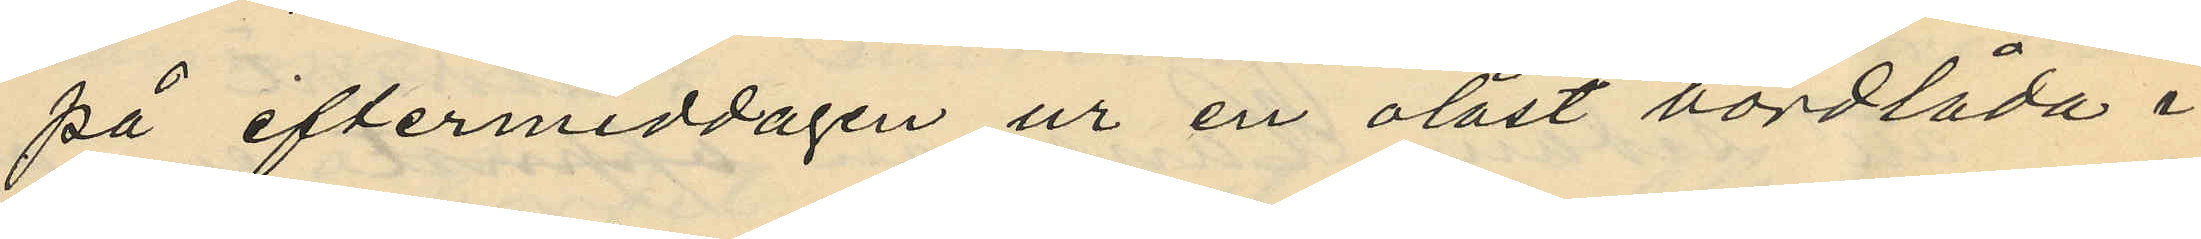på eftermiddagen ur en olåst bordlåda i
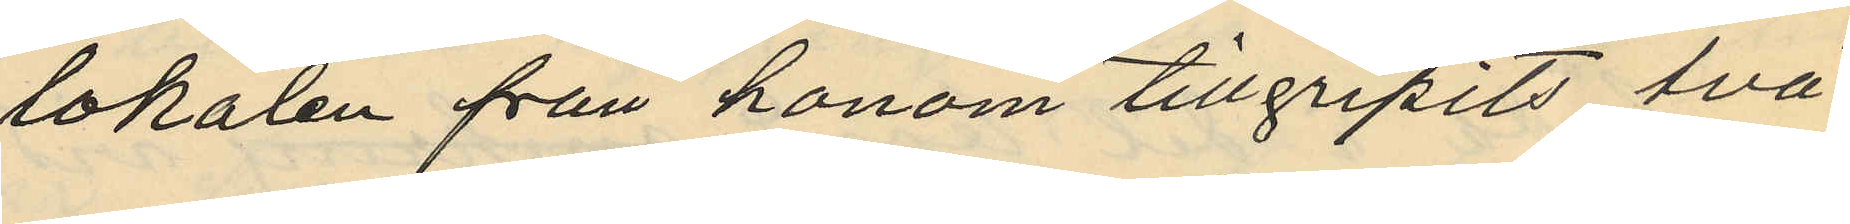lokalen från honom tillgripits två
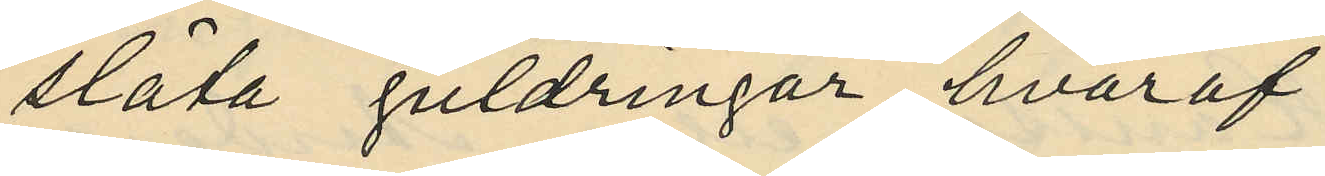slåta guldringar, hvaraf
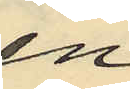en
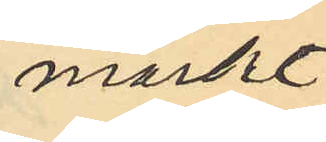märkt
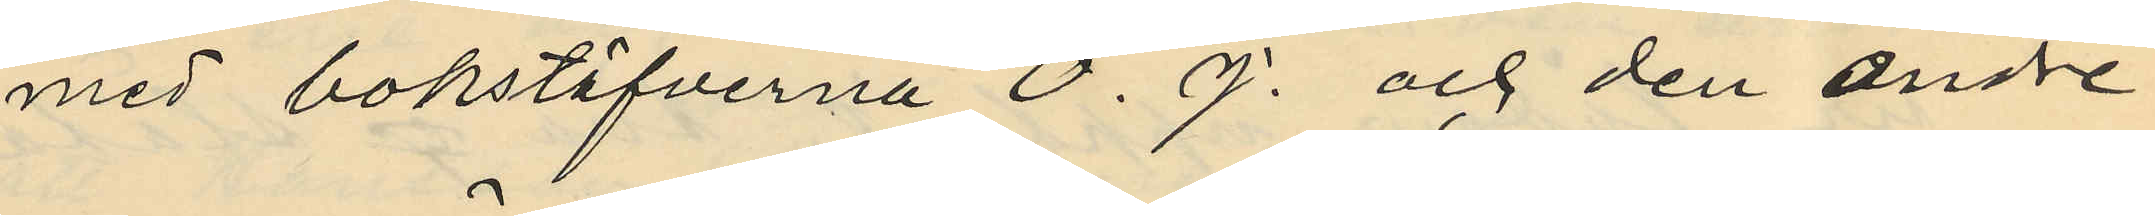med bokstifverna O. J. och den andre
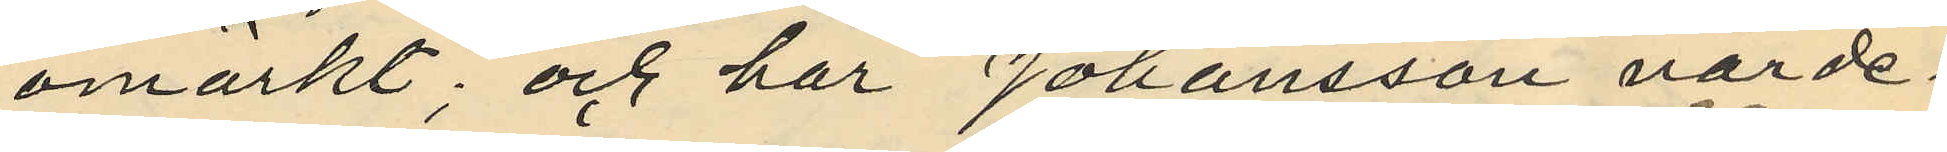omärkt; och har Johansson värde¬
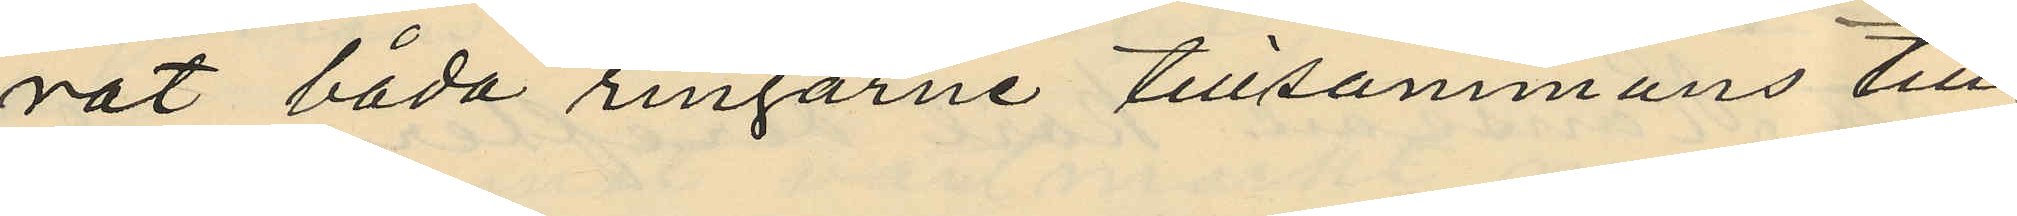rat båda ringarne tillsammans till
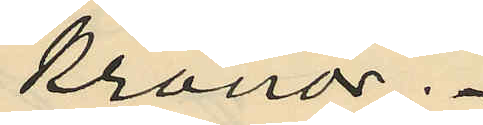Kronor.
